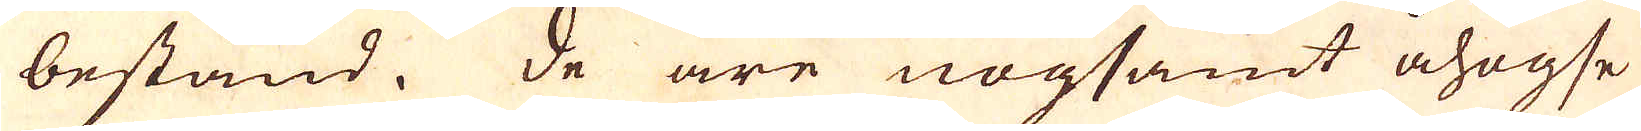bestånd. De äre nogsamt åhogse
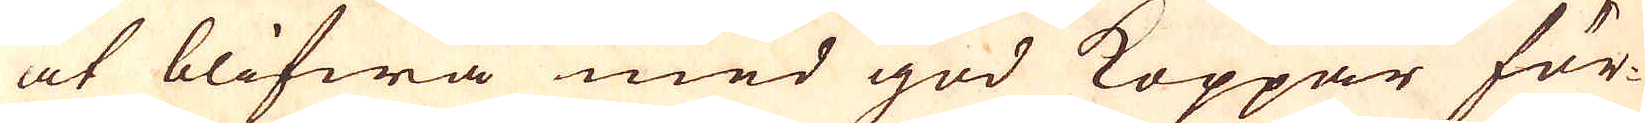at blifwa med god Koppar för-
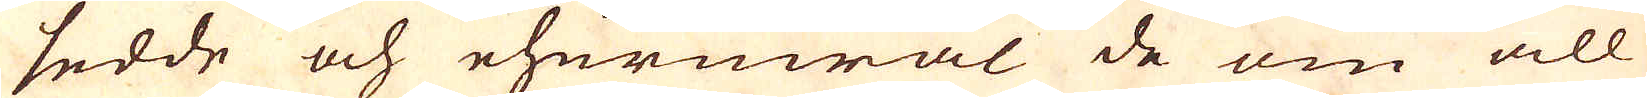sedde och ehuruwäl de om all
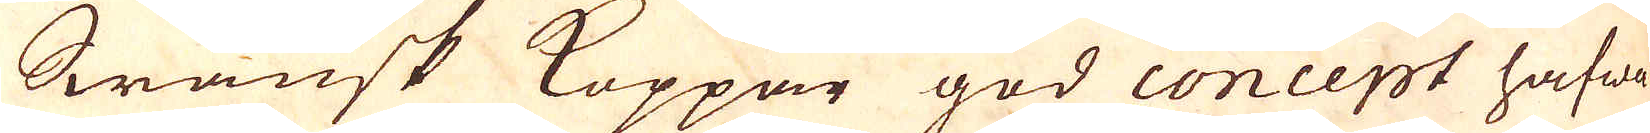Swänsk Koppar god concept hafwa
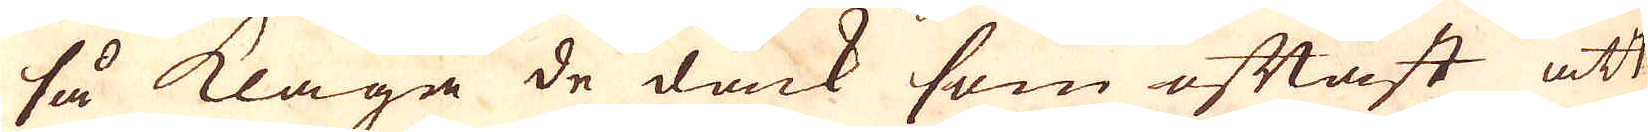så klaga de dåck som oftast att
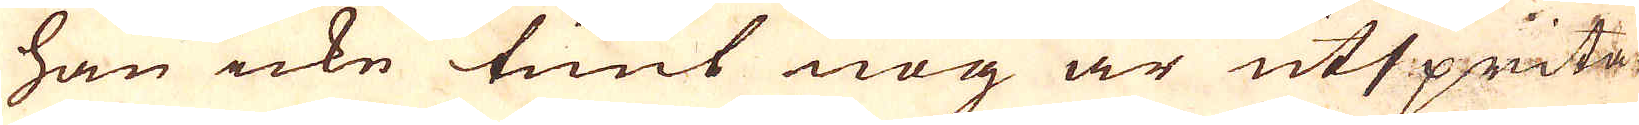han icke tunt nog är utsprita-
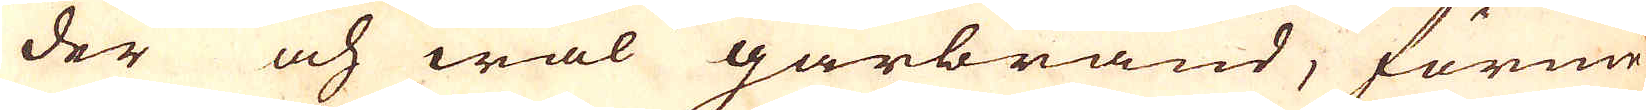der och wäl gårbränd, förme-
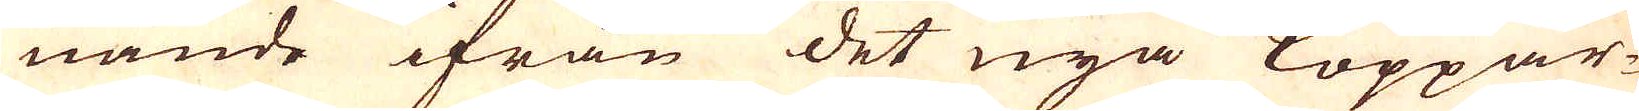nande ifrån det nya Koppar-
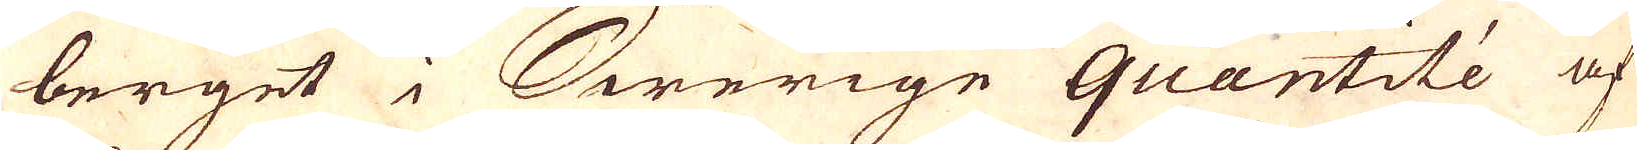berget i Swerige quantité af
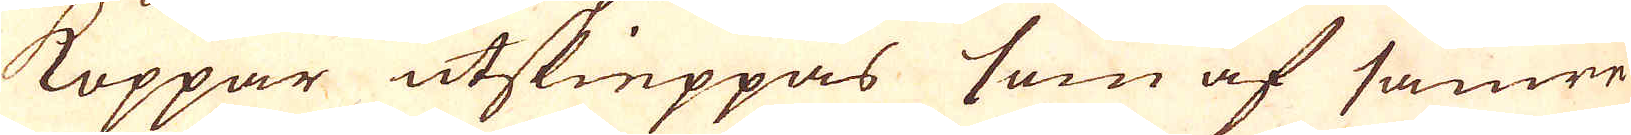Koppar utskieppas som af sämre
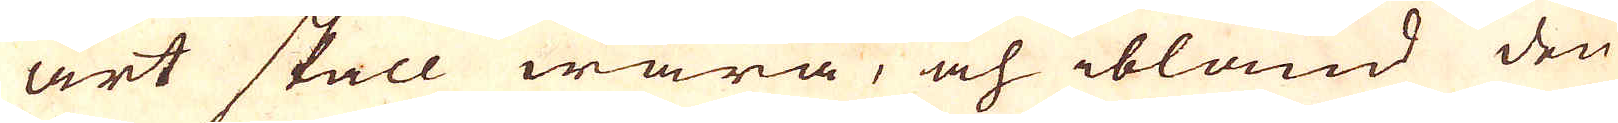art skall wara, och ibland den
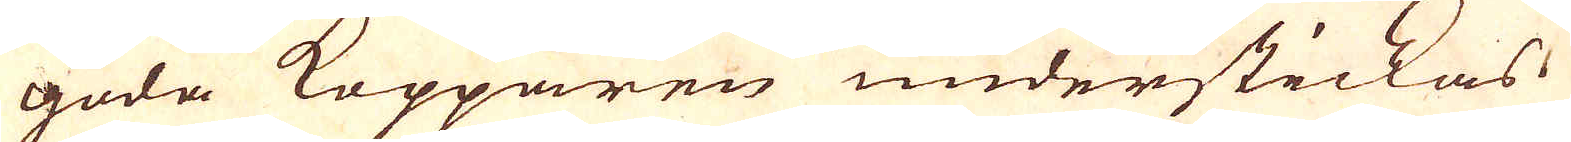goda Kopparen understickas.
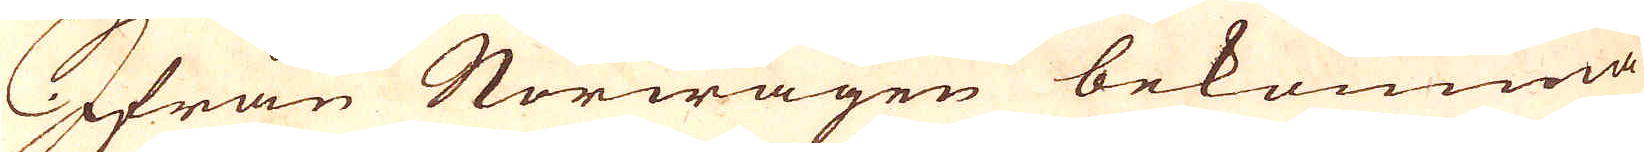Ifrån Norwägen bekomma
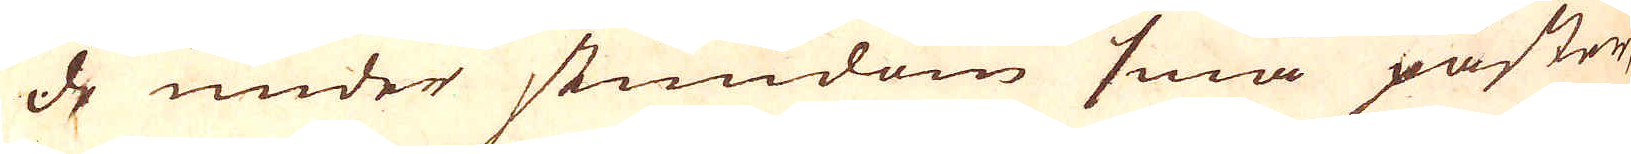de under stundom små påster
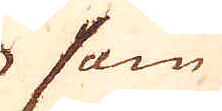som
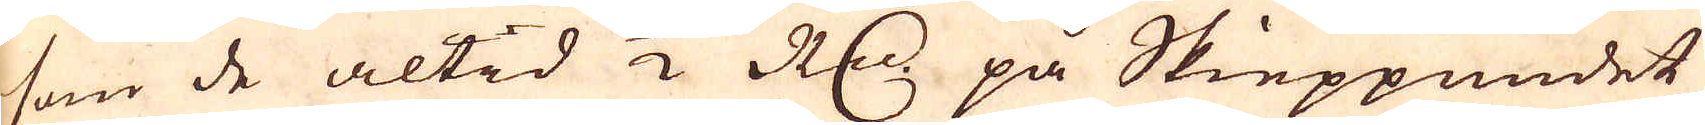som de altid 1/2 R:dr på Skieppundet
